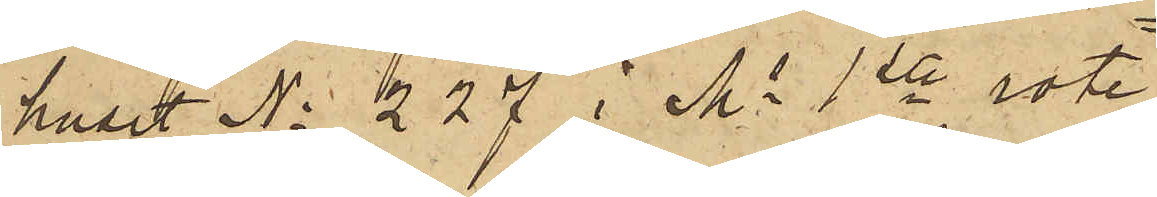huset No 227 i Ms 1ste rote
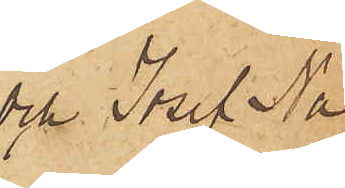och Josef Na¬
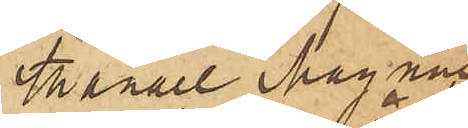thanael Magnus¬
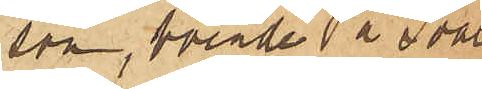son, boende å Svale¬
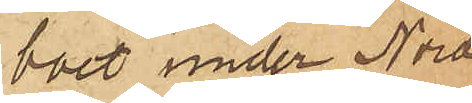boet under Nord¬
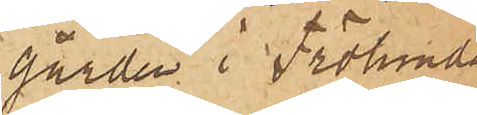gården i Frölunda
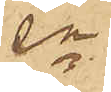sn
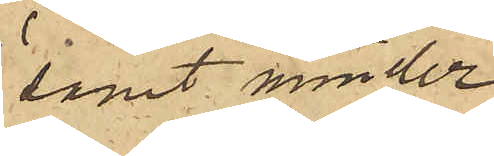samt minder¬
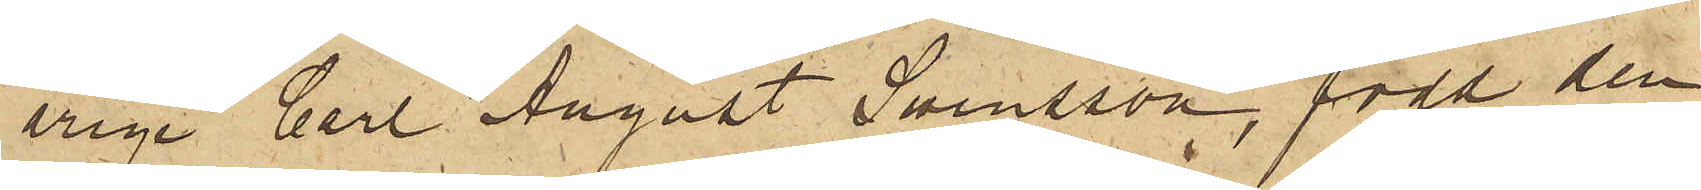årige Carl August Swensson, född den
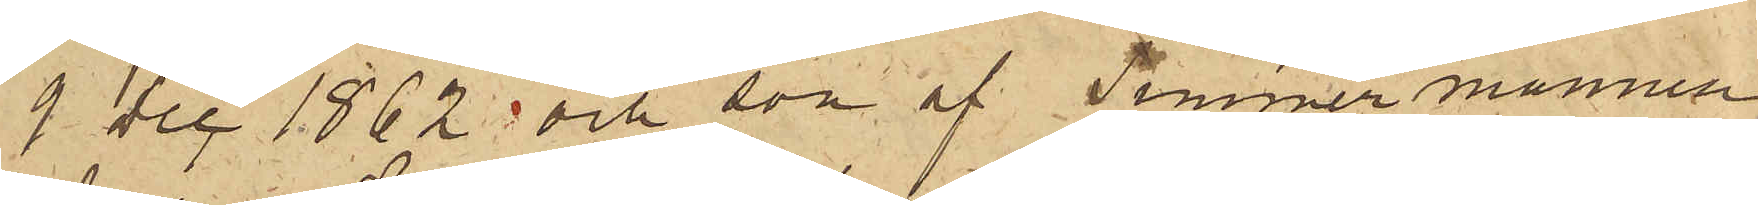9 Dec 1862 och son av Timmermannen
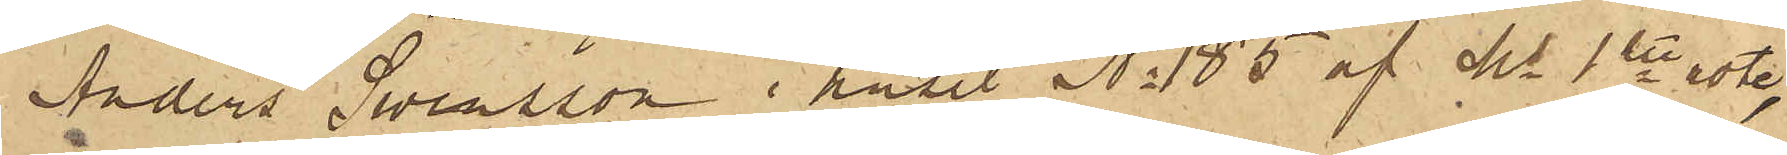Anders Swensson i huset No 185 af Ms 1ste rote,
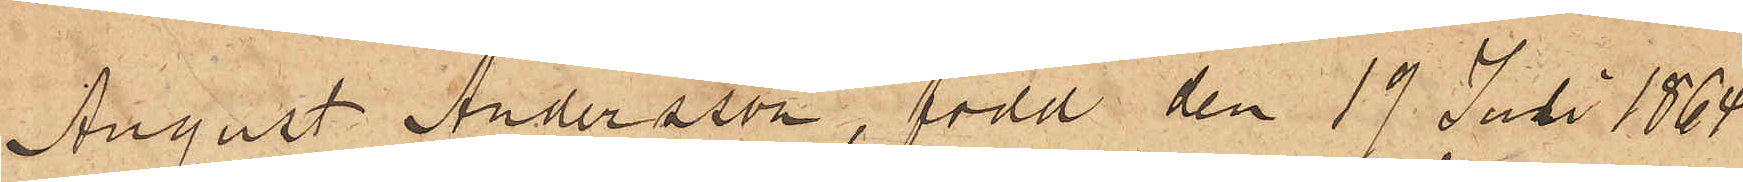August Andersson, född den 19 Juli 1864
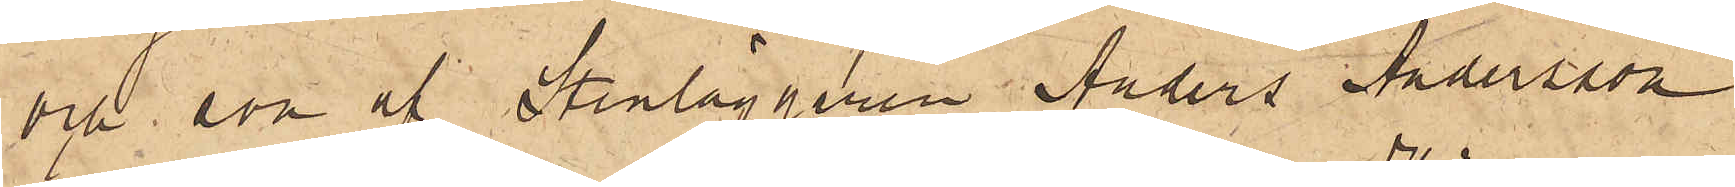och son af Stenläggaren Anders Andersson
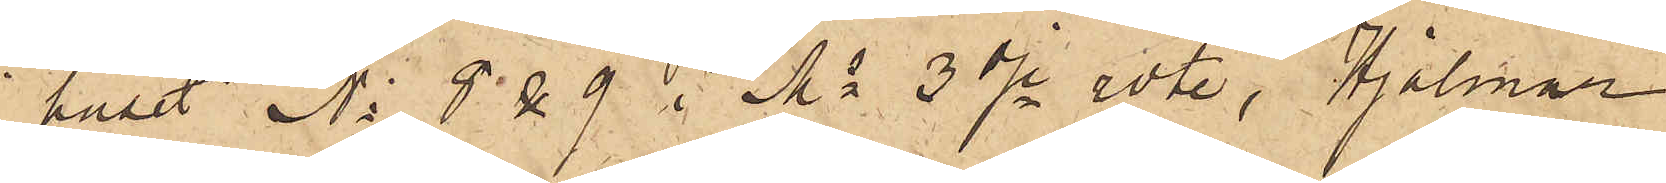i huset Ns 8 & 9 i Ms 3dje rote, Hjalmar
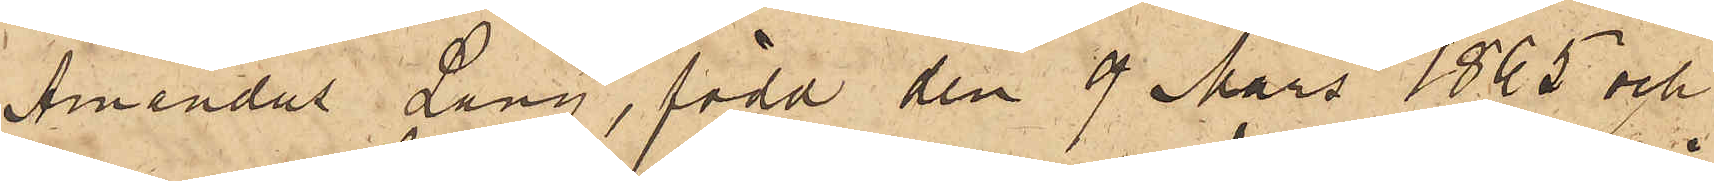Amandus Lang, född den 9 Mars 1865 och
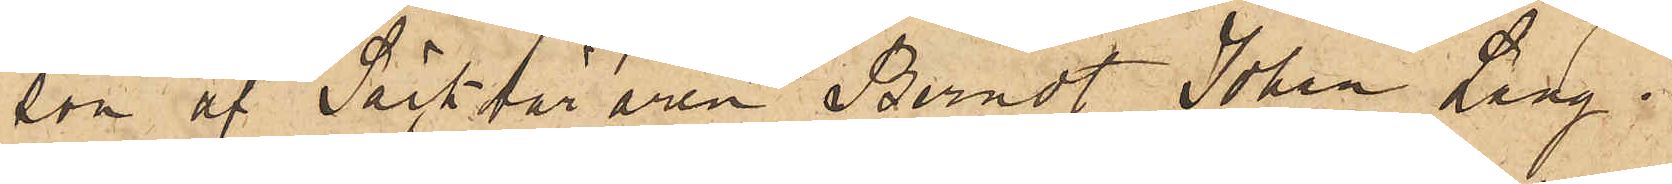son af Säckbäraren Berndt Johan Lang i
